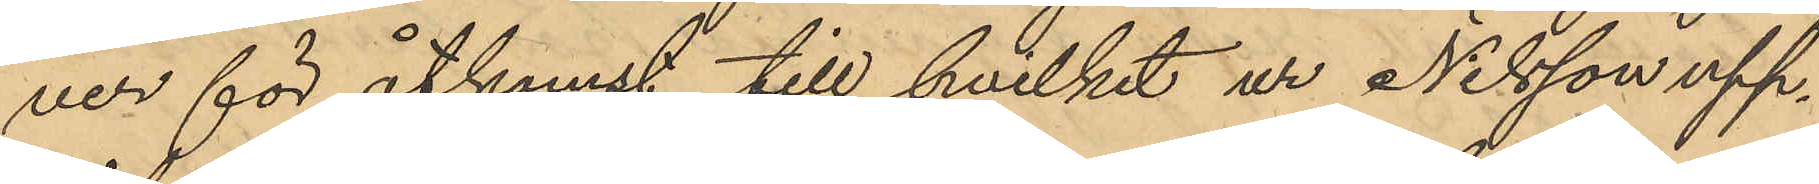ver för åtkomst till hvilket ur Nilsson upp¬
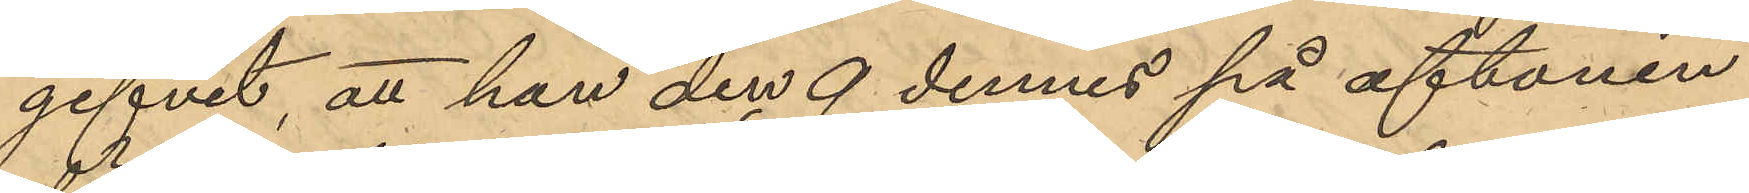gifvit, att han den 9 dennes på aftonen
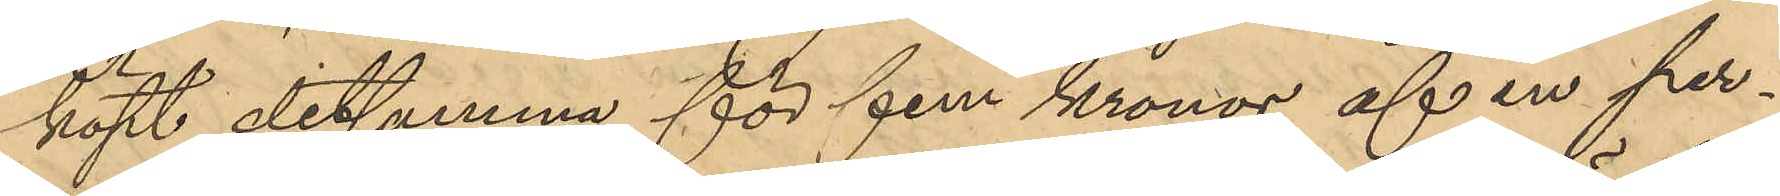köpt detsamma för fem kronor af en per¬
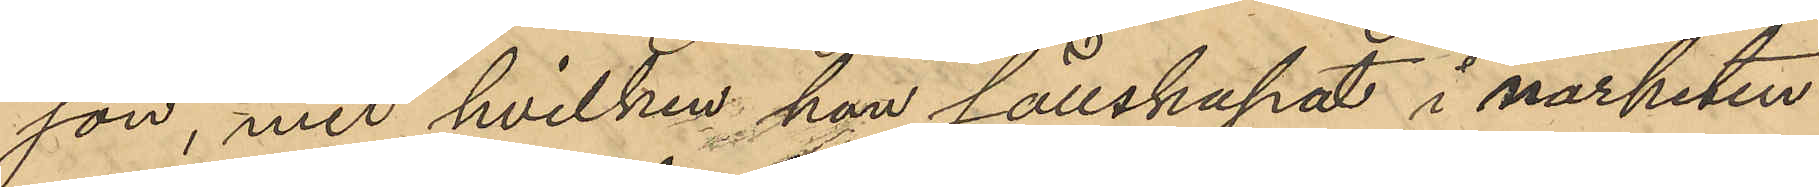son, med hvilken han sällskapat i närheten
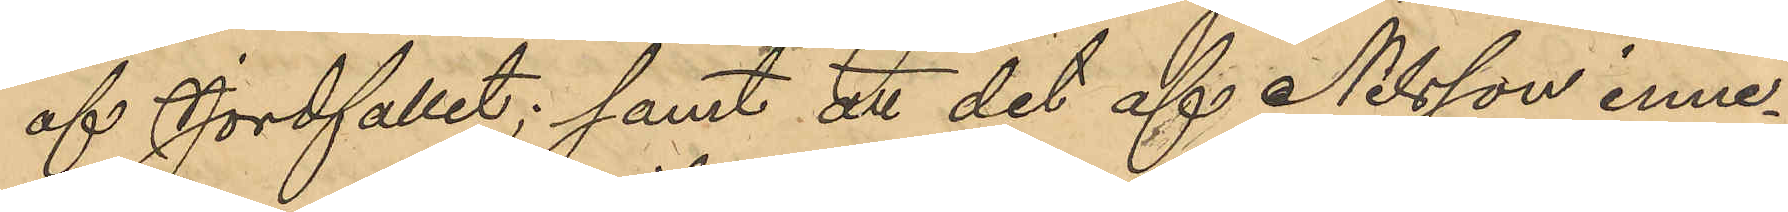af Jordfallet; samt att det af Nilsson inne¬
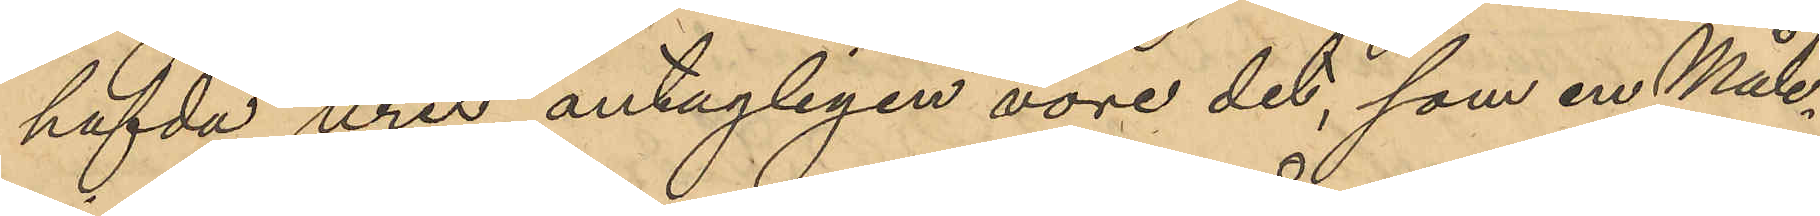hafda uret antagligen vore det, som en Måle¬
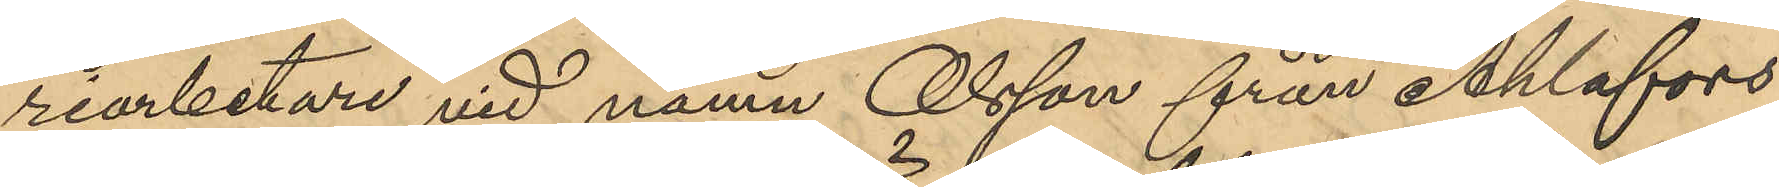riarbetare vid namn Olsson från Ahlafors
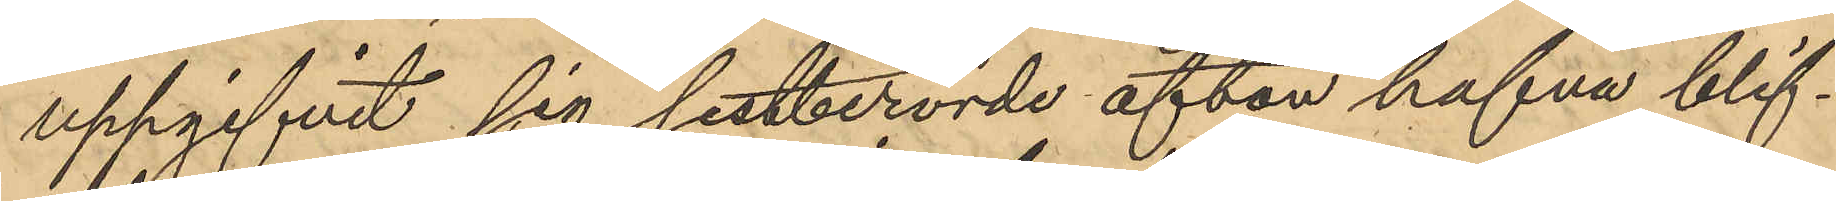uppgifvit sig sistberörde afton hafva blif¬
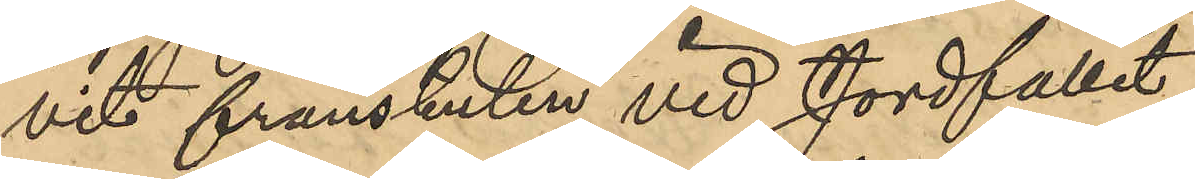vit frånstulen vid Jordfallet.
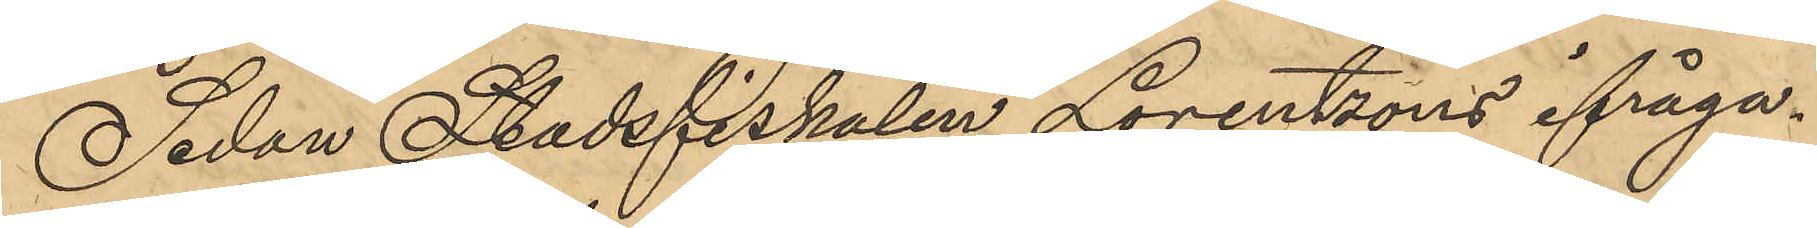Sedan Stadsfiskalen Lorentsons ifråga¬
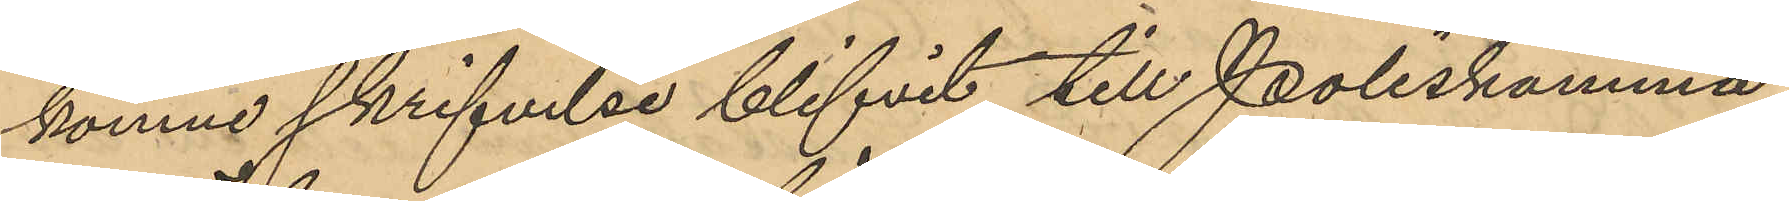komne skrifvelse blifvit till Poliskamma¬
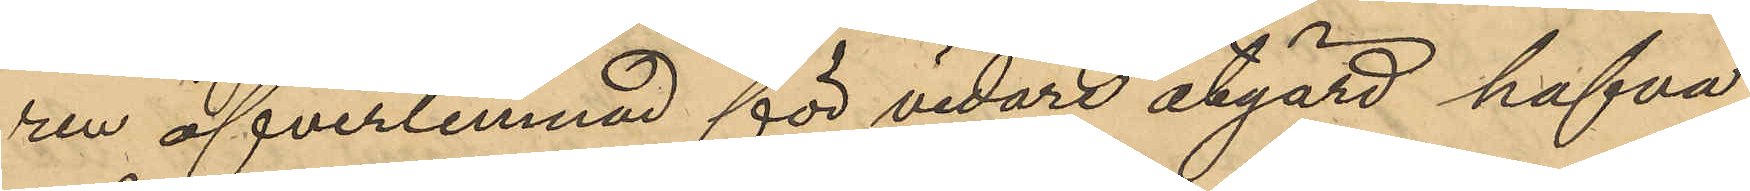ren öfverlemnad för vidare åtgärd hafva
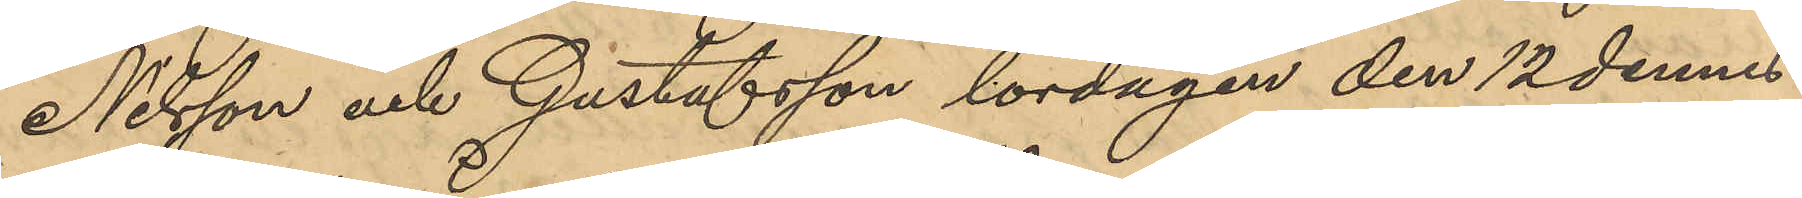Nilsson och Gustafsson lördagen den 12 dennes
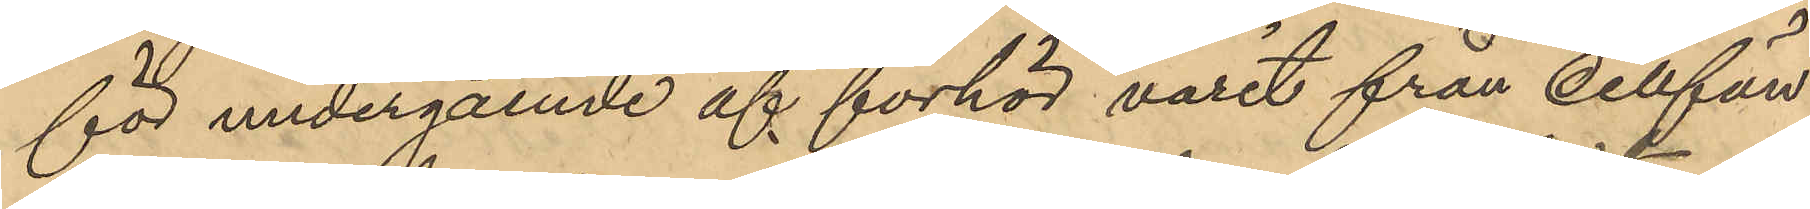för undergående af förhör varit från cellfän¬
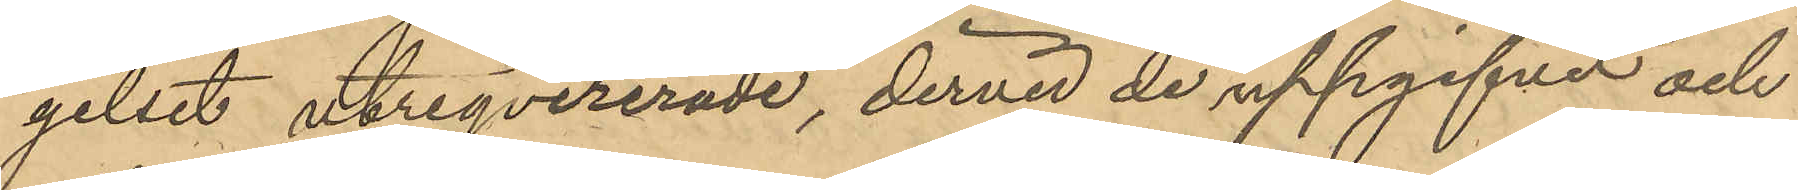gelset utreqvirerade, dervid de uppgifvit och
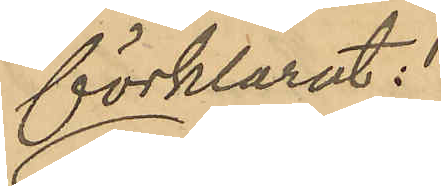förklarat:
